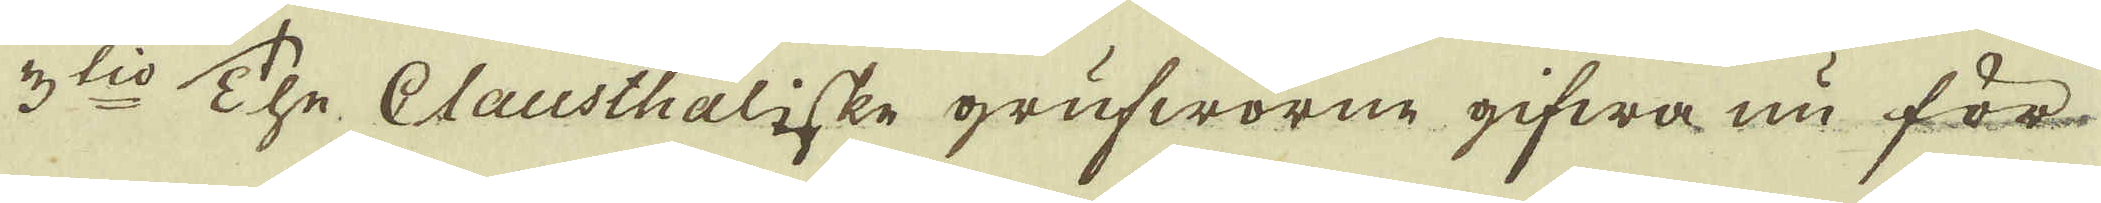3:tio The Clausthaliske grufworne gifwa nu för-
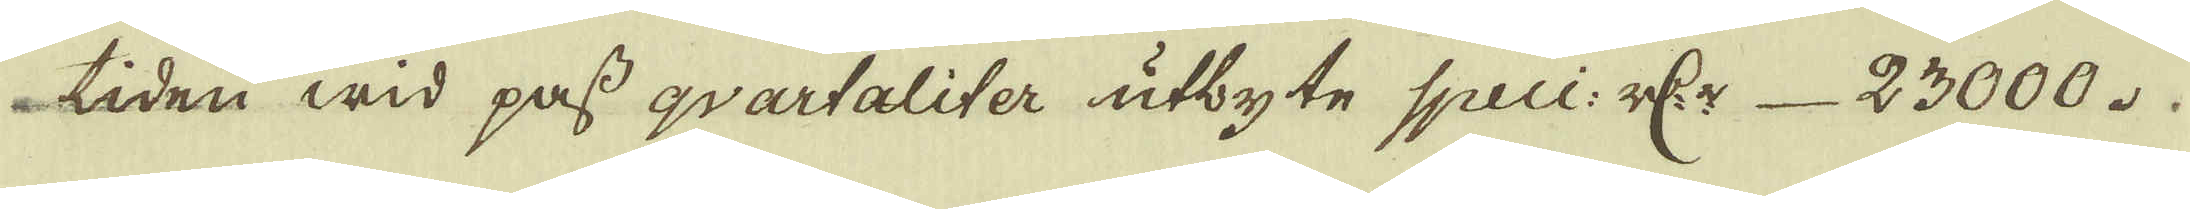tiden wid pass qvartaliter utbyte Speci: r:dr 23000.
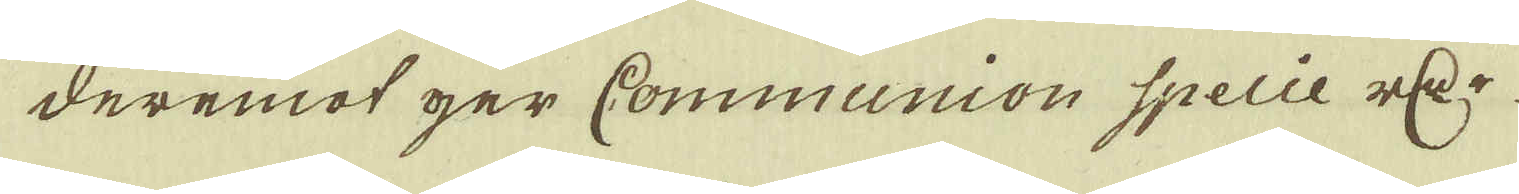deremot ger Communion Specie r:cr
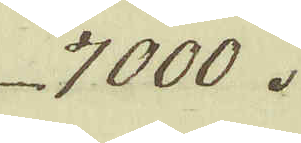7000.
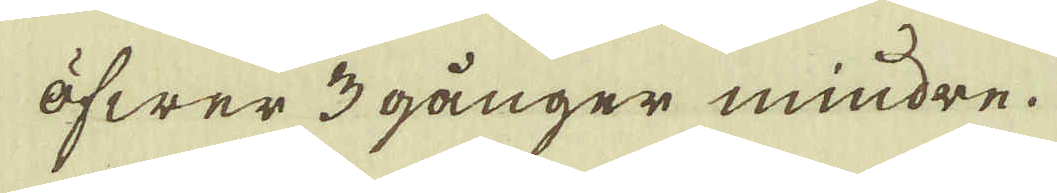öfwer 3 gånger mindre.
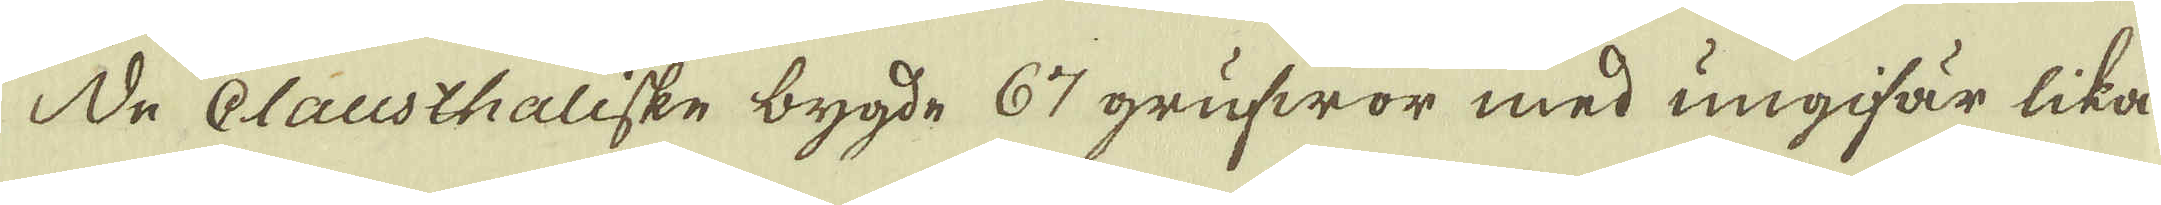De Clausthaliske bygde 67 grufwor med ungifär lika
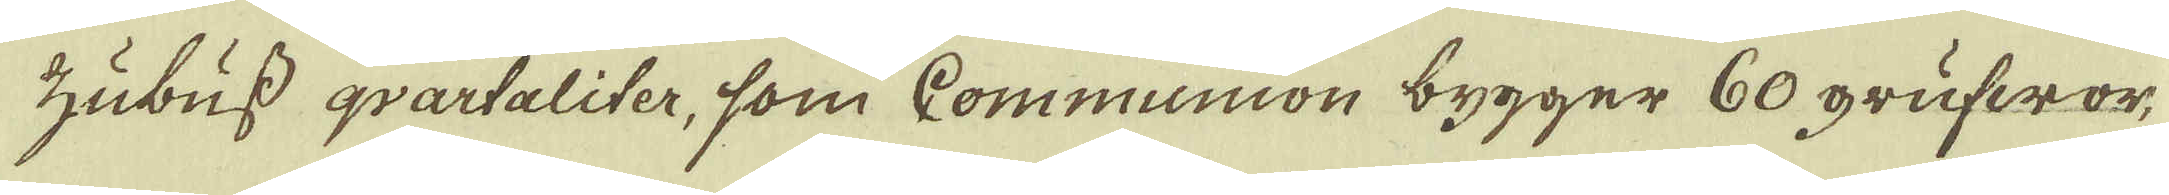Zubuss qvartaliter, som Communion bygger 60 grufwor,
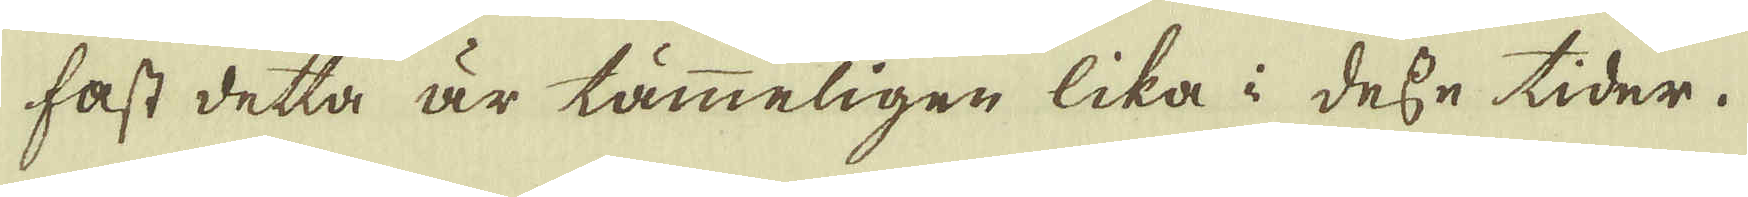fast detta är tämmeligen lika i desse tider.
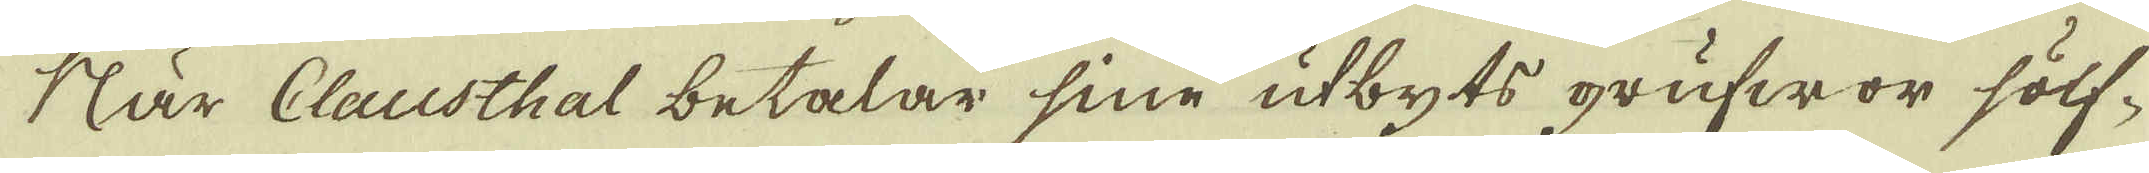När Clausthal betalar sine utbyts grufwor sölf-
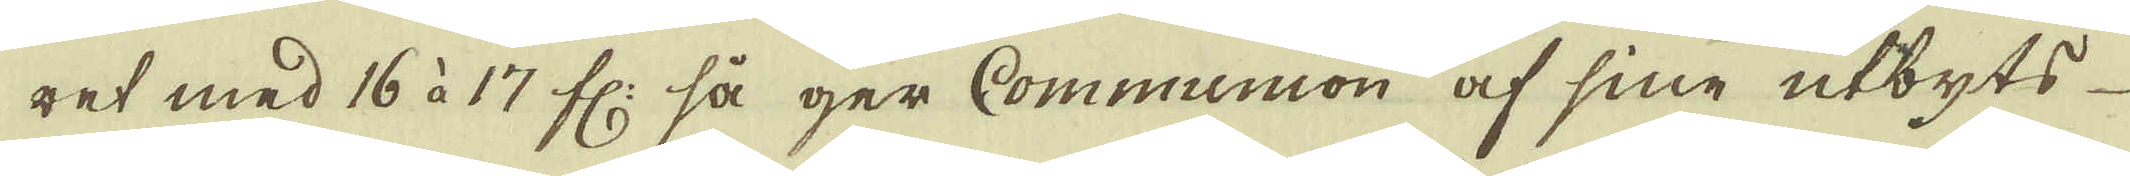ret med 16 à 17 fl: så ger Communion af sine utbyts-
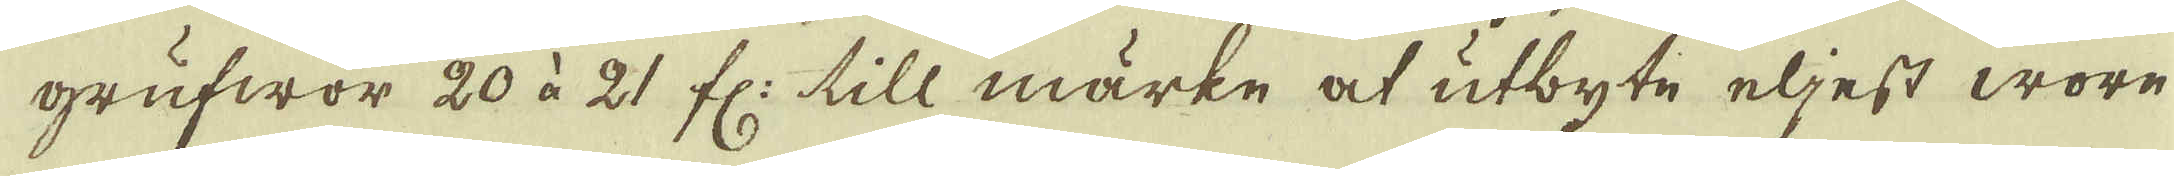grufwor 20 à 21 fl: till märke at utbyte eljest wore
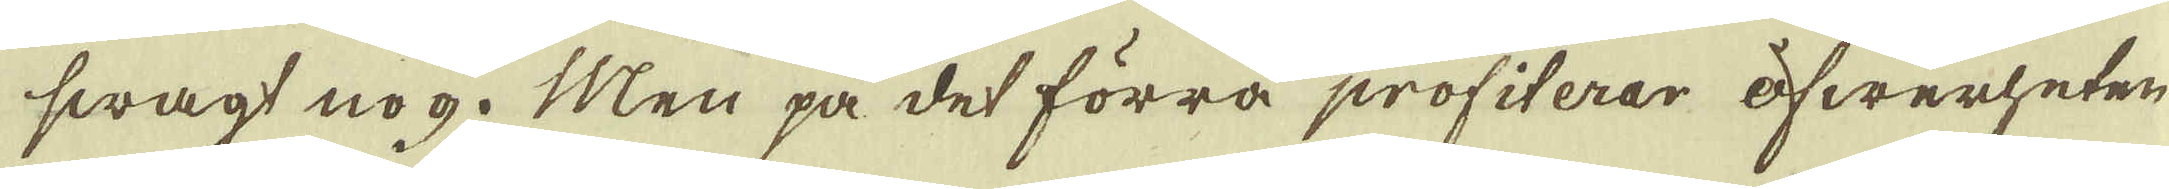swagt nog. Men på det förra profiterar öfwerheten
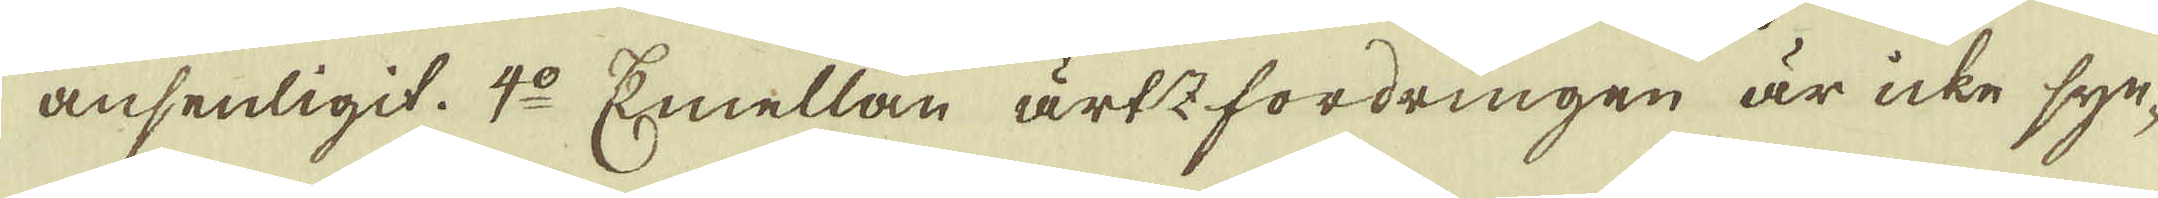ansenligit. 4:o Emellan ärtzfordringen är icke sy-
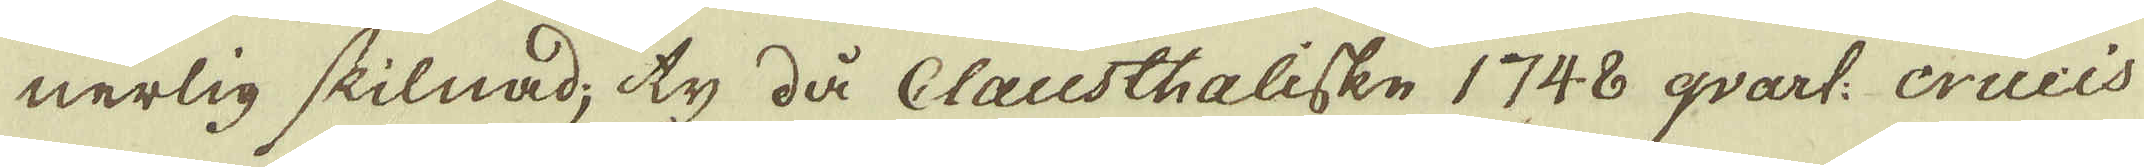nerlig skilnad; ty då Clausthaliske 1748 qvart: Crucis
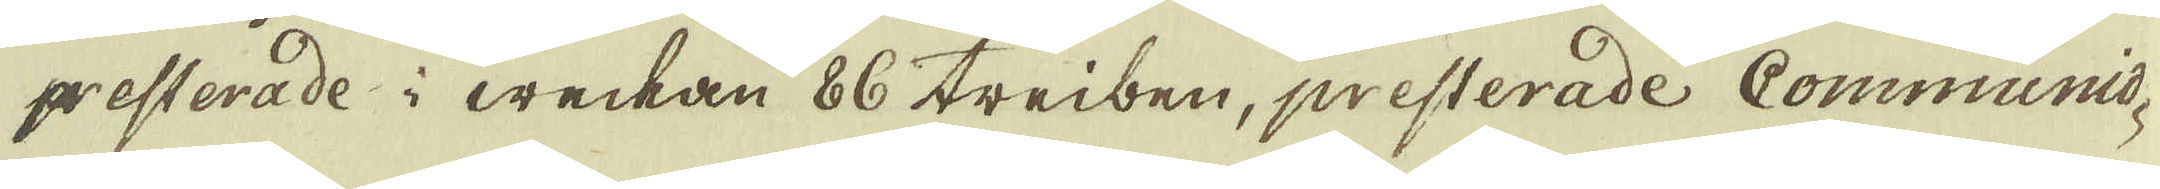presterade i weckan 86 triben, presterade Communio-
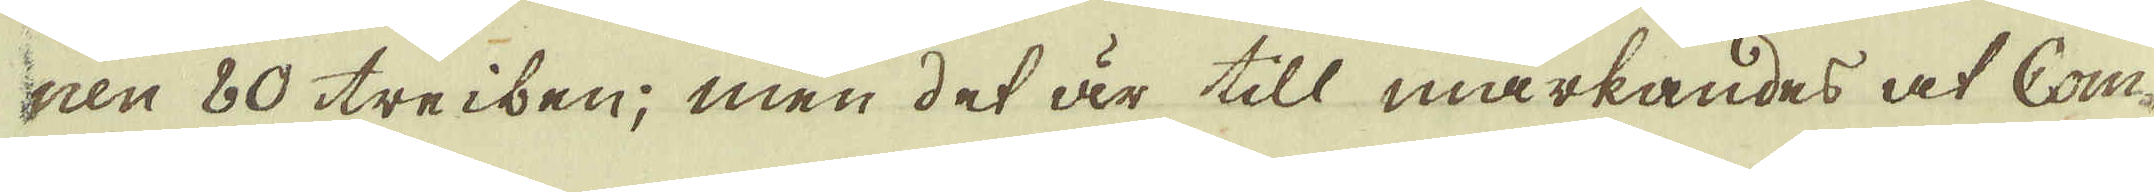nen 80 treiben; men det är till märkandes at Com-
